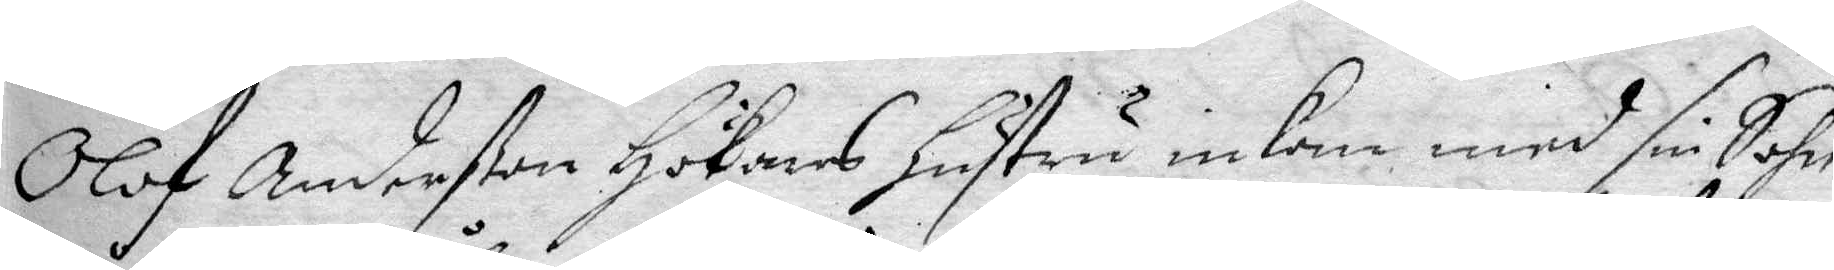Olof Anderßon Hökares hustru inkom med sin Sohn
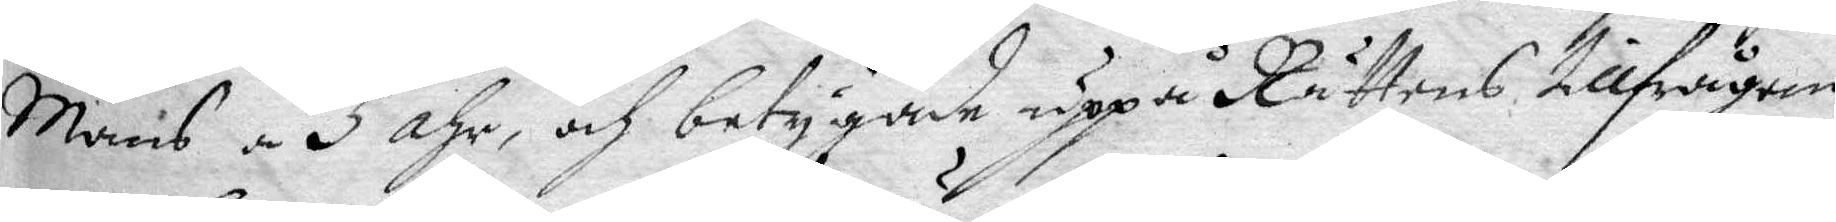Måns á 5 åhr, och betygade uppå Rättens tillfrågan,
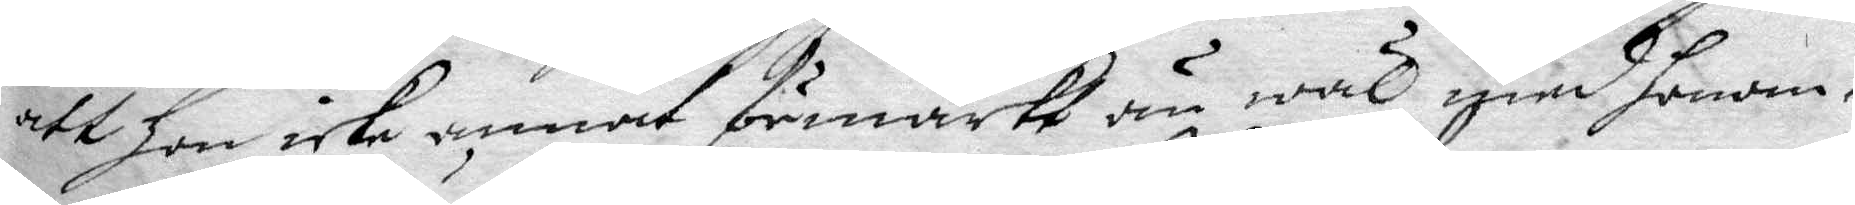att hon icke annat förmärkt än wäl med honom.
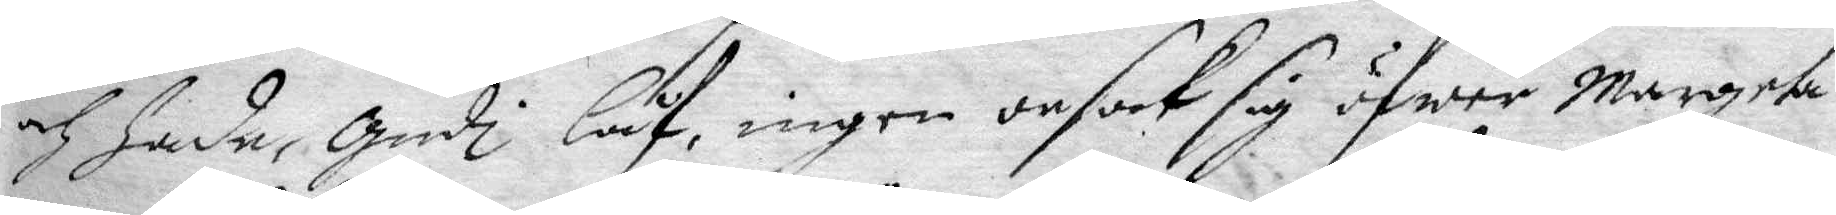och hade, gudi låf, ingen orsak sig öfwer Margeta
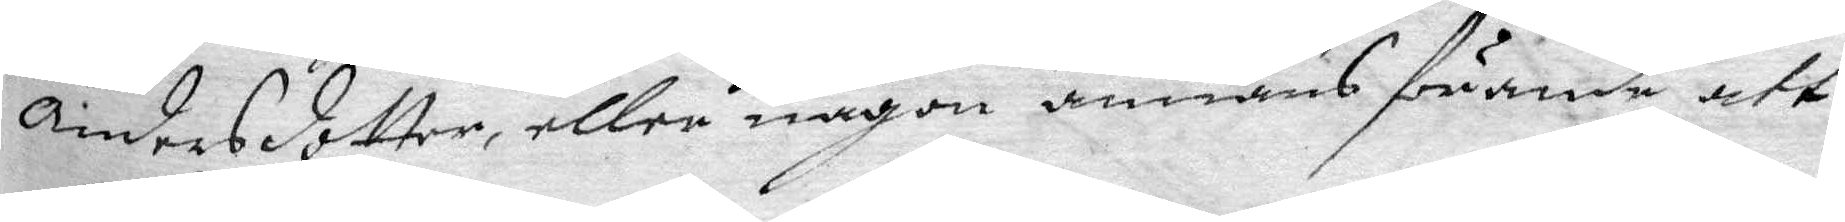Andersdotter, eller någon annans förande att
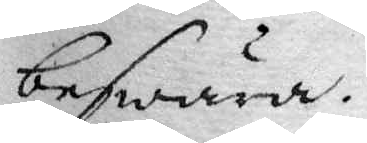beswara.
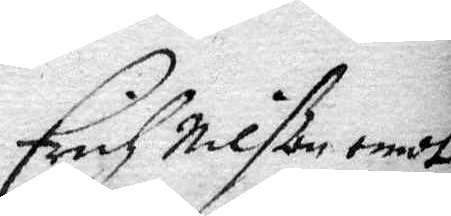Erich Nilßon emot
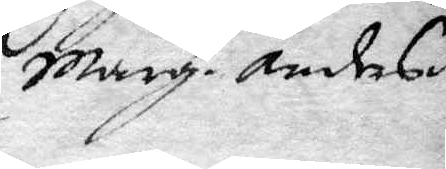Marg. Andersd.r
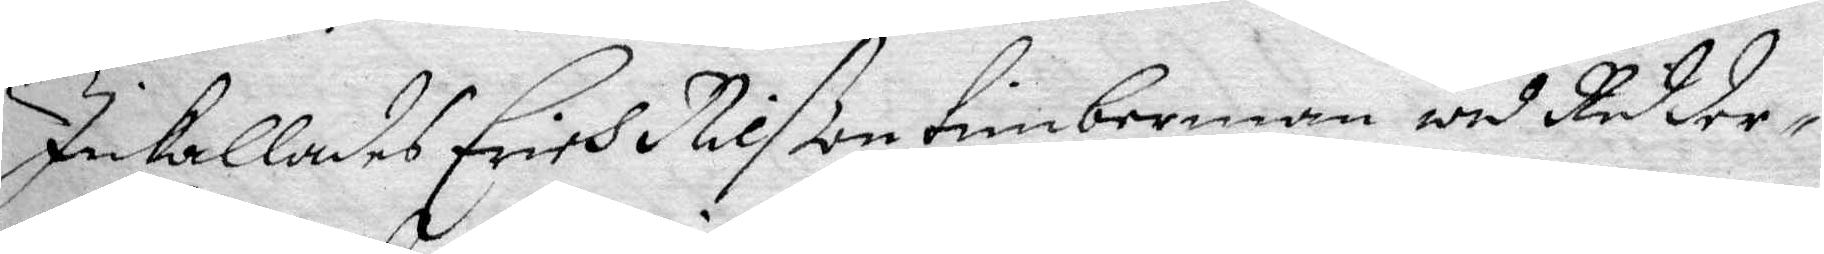Inkallades Erich Nilßon timberman wid Ridder¬
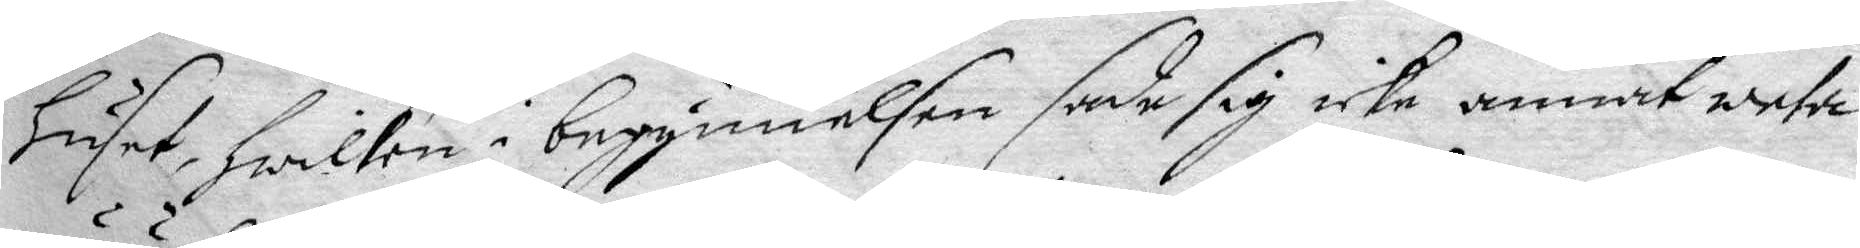huset, hwilken i begynnelsen sade sig icke annat weta
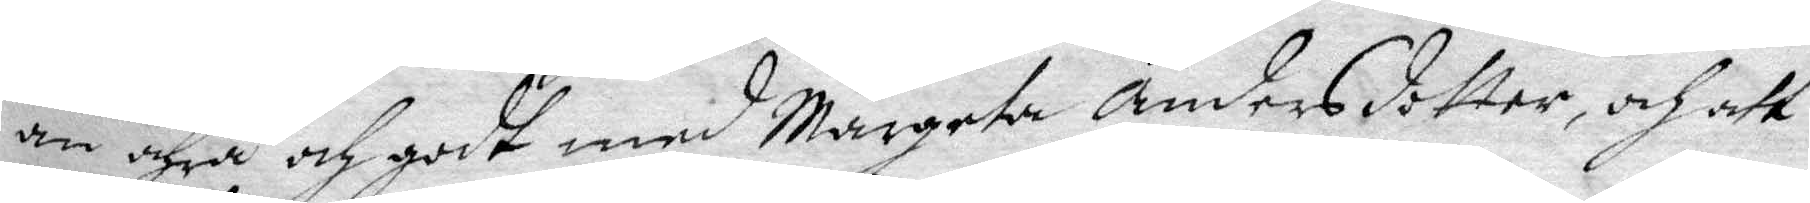än ähra och godt med Margeta Andersdotter, och att
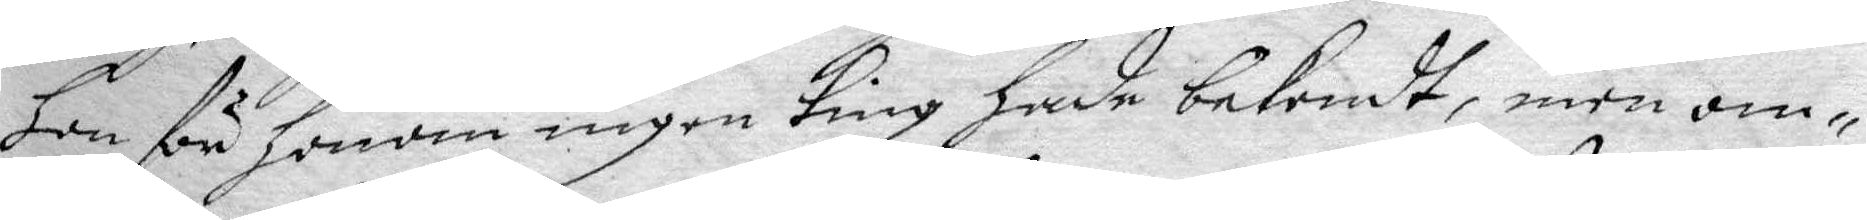hon för honom ingen ting hade bekendt, men om¬
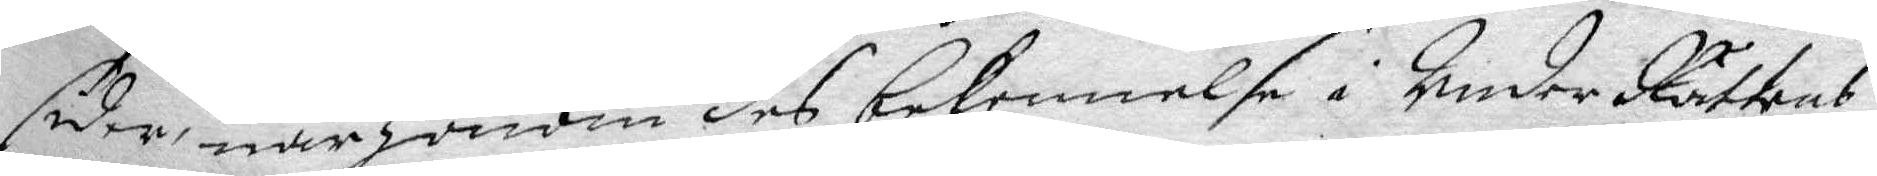sider, när honom des bekennelse i UnderRättens
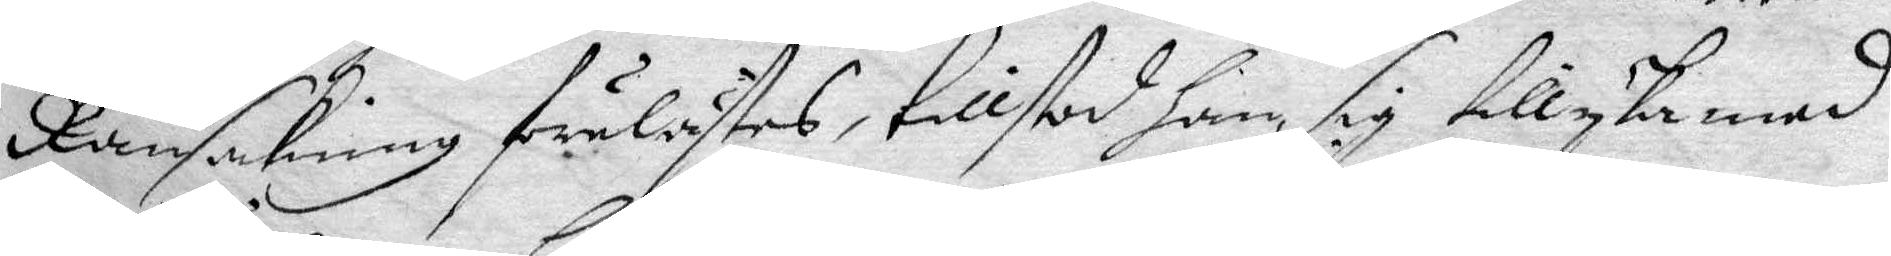Ransakning förelästes, tillstod han, sig tillyka med
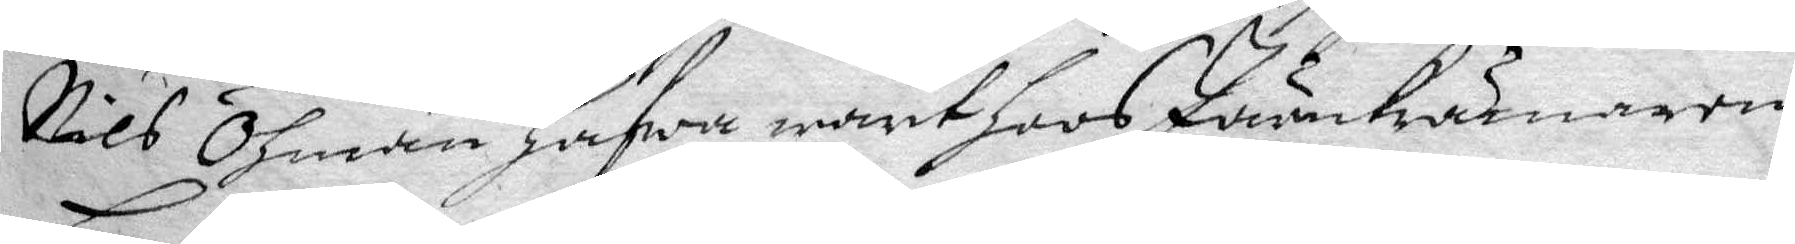Nils Öhman hafwa warit hoos Järnkrämaren
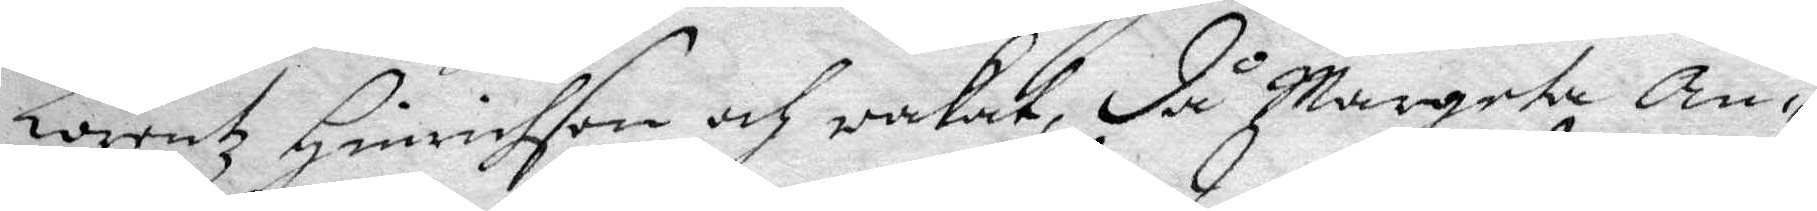Lorentz Hinrichson och wakat, då Margeta An¬
